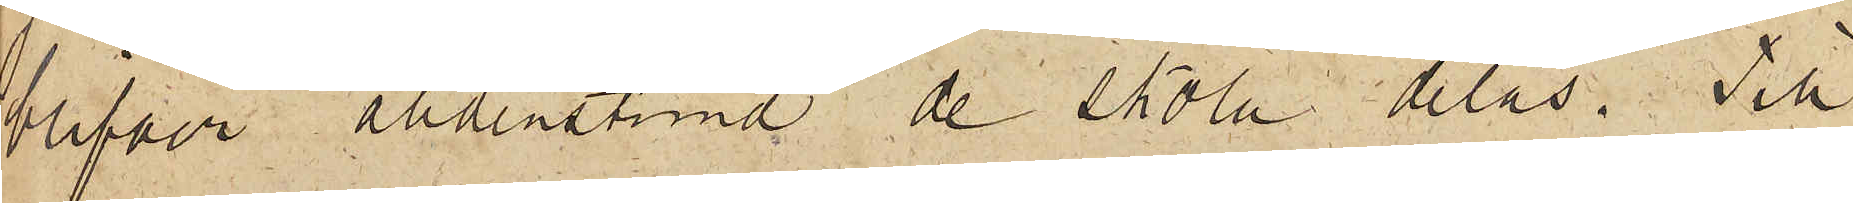blifver alldenstund de skola delas. Till
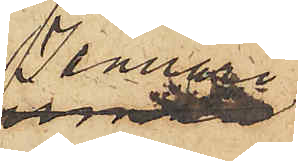Januari
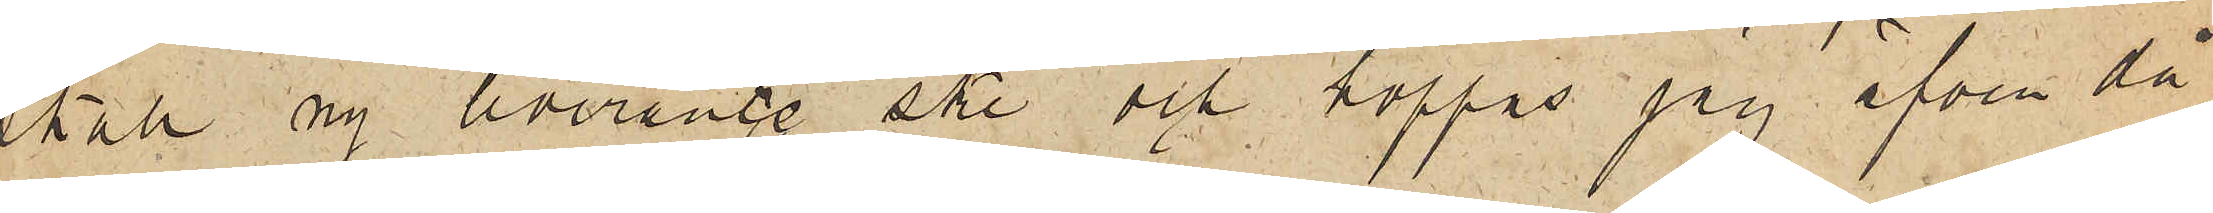skall ny leverance ske och hoppas jag äfven då
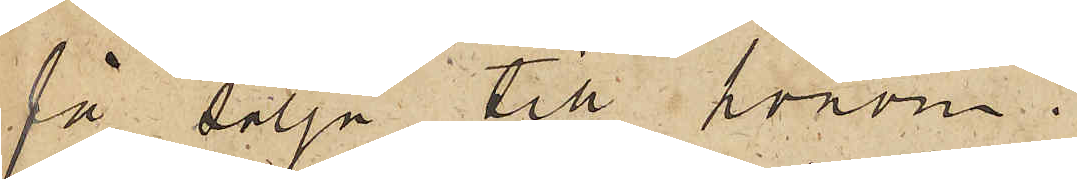få sälja till honom.
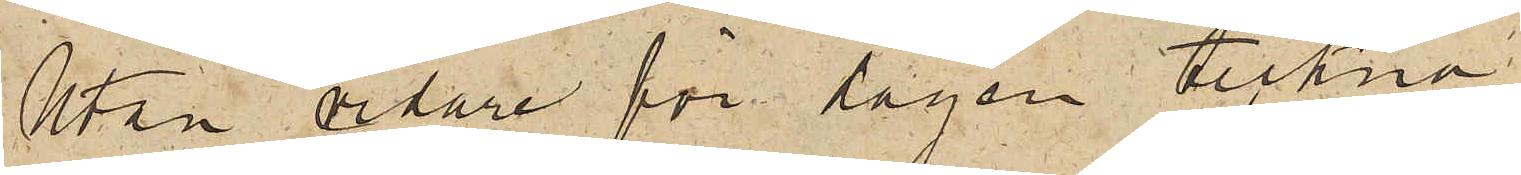Utan vidare för dagen tecknar
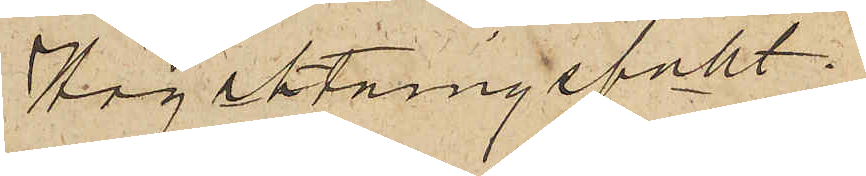Högaktningsfullt
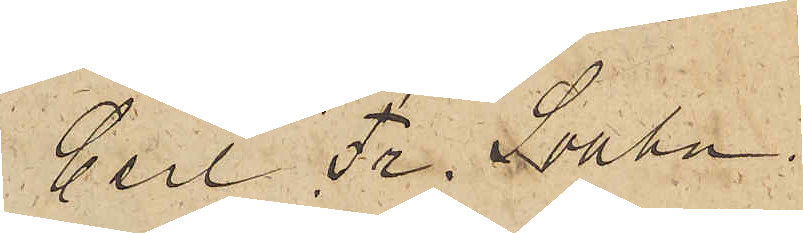Carl Fr. Svahn
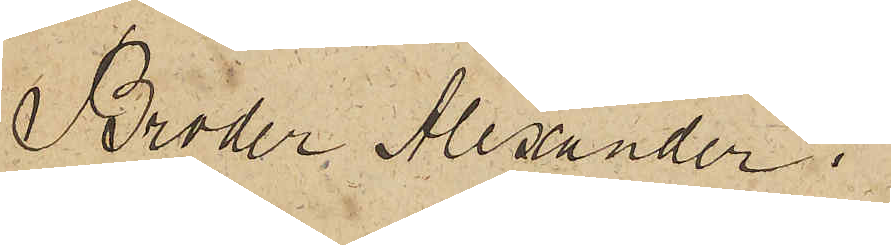Broder Alexander!
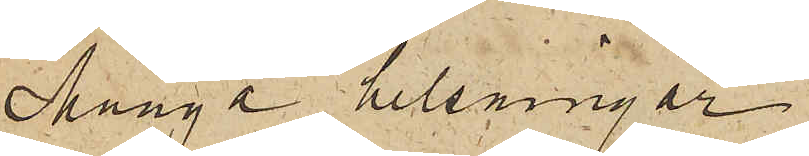Många helsningar
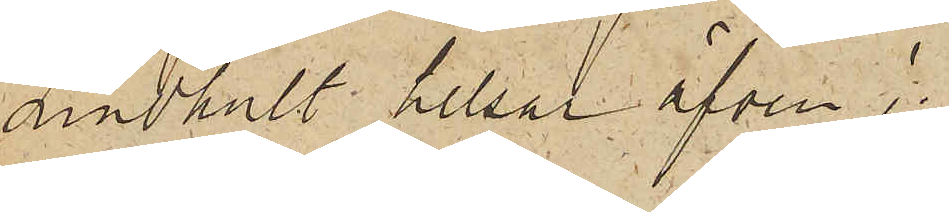Lindhult helsar äfven!
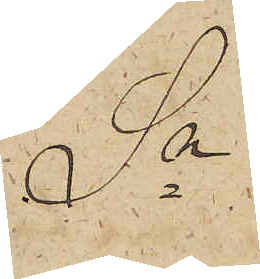Sn
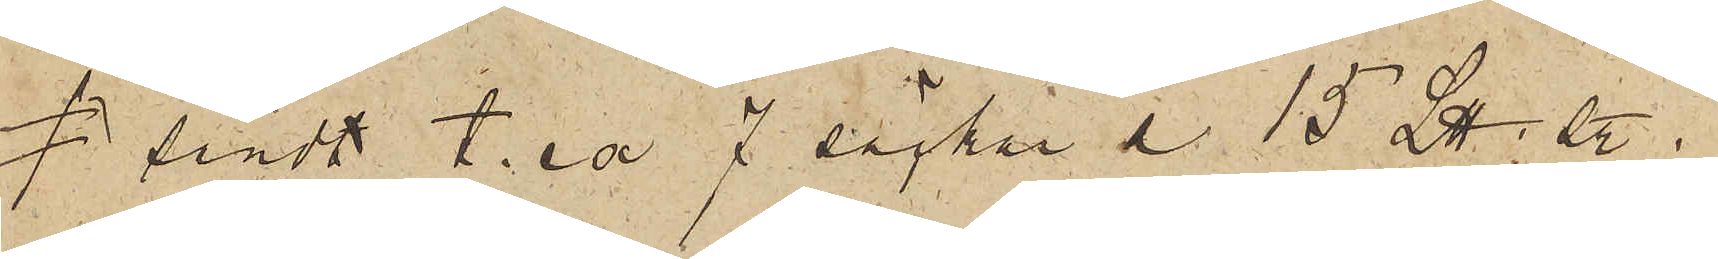sändt t.ex. 7 säckar a 15 L℔; sty.
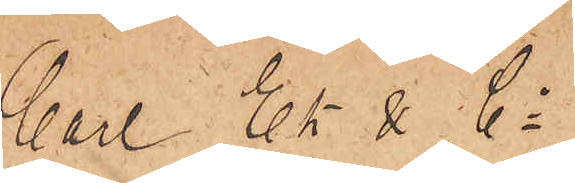Carl Ek & Cp
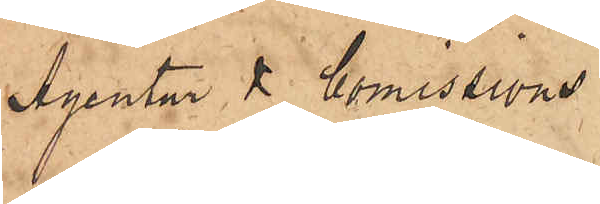Agentur & Komissions¬
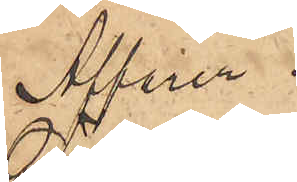Affärer
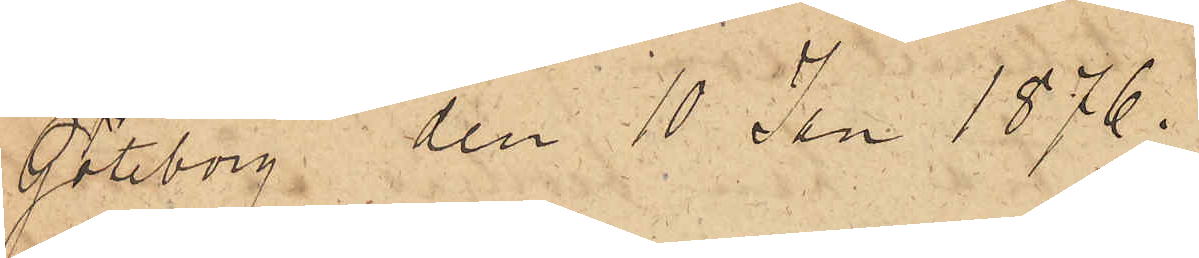Göteborg den 10 Jan 1876.
